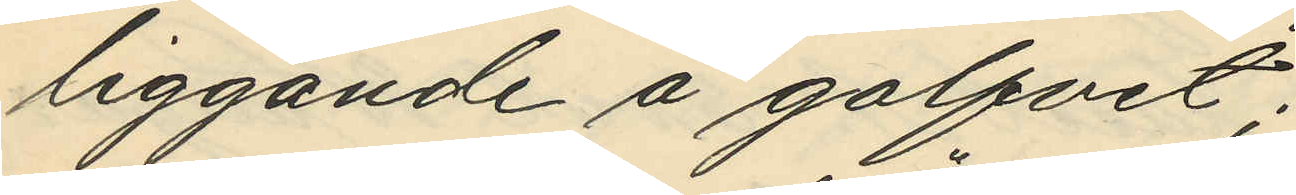liggande å golfvet;
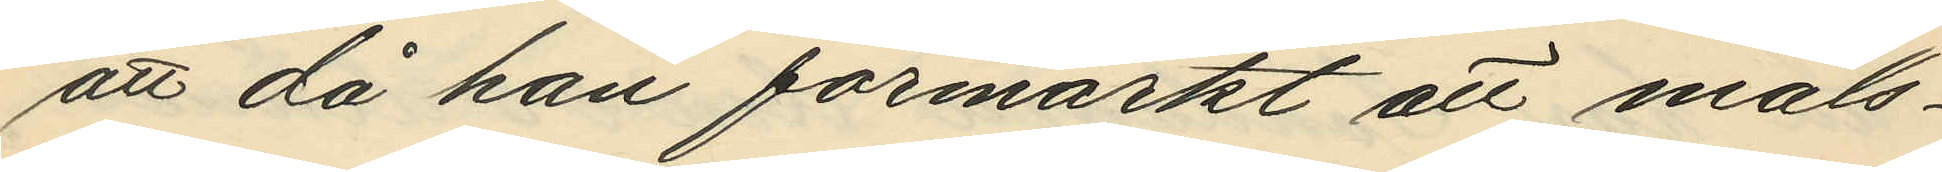att då han förmärkt att måls¬
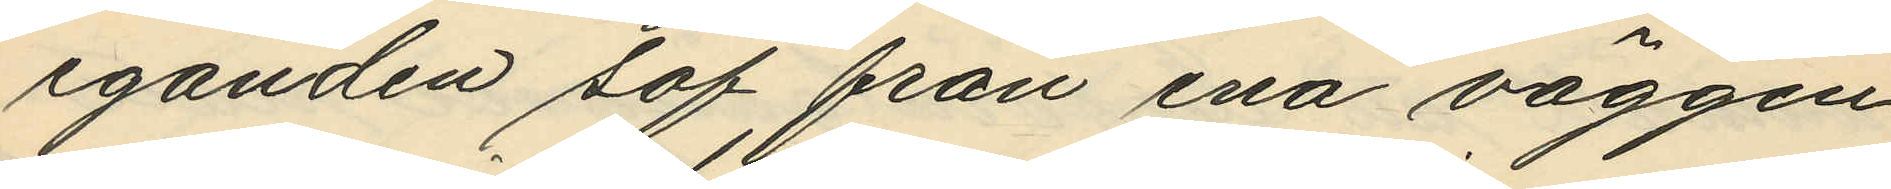eganden sof från ena väggen
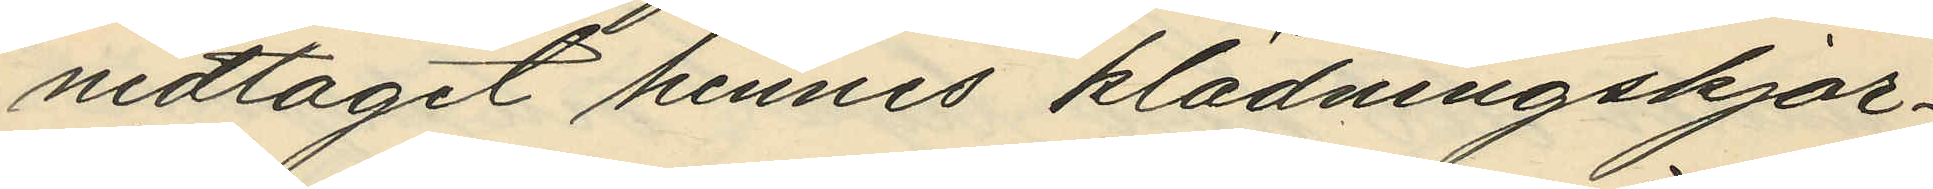nedtagit hennes klädningskjor¬
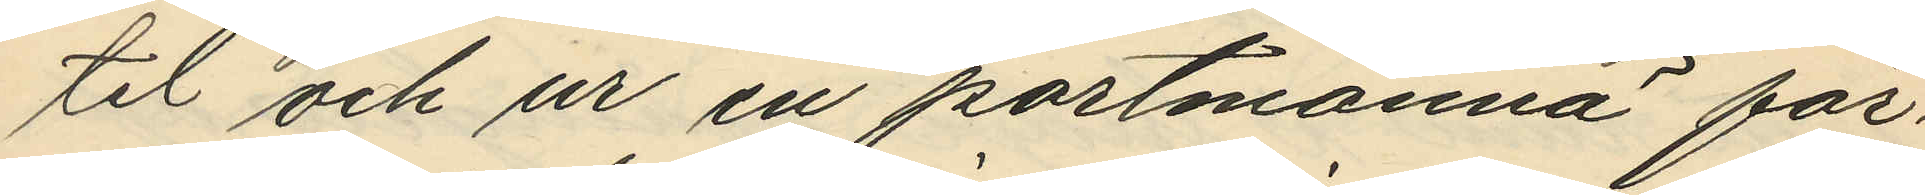tel och ur en portmonnä för¬
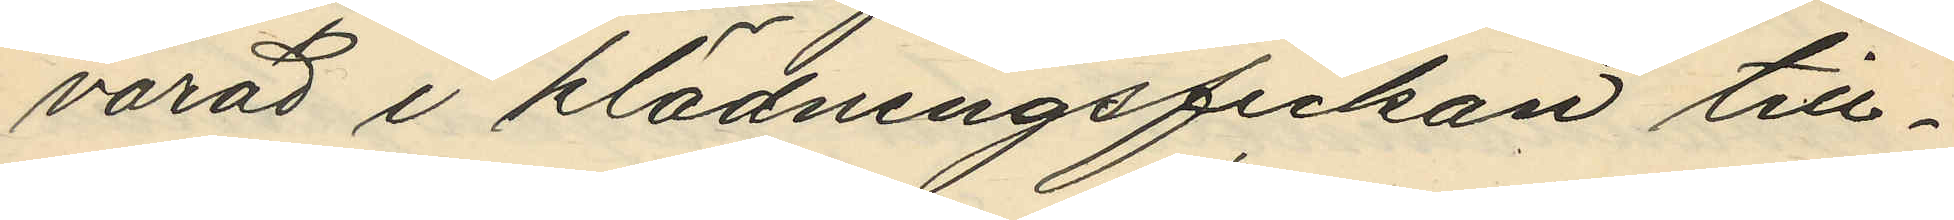varad i klädningsfickan till¬
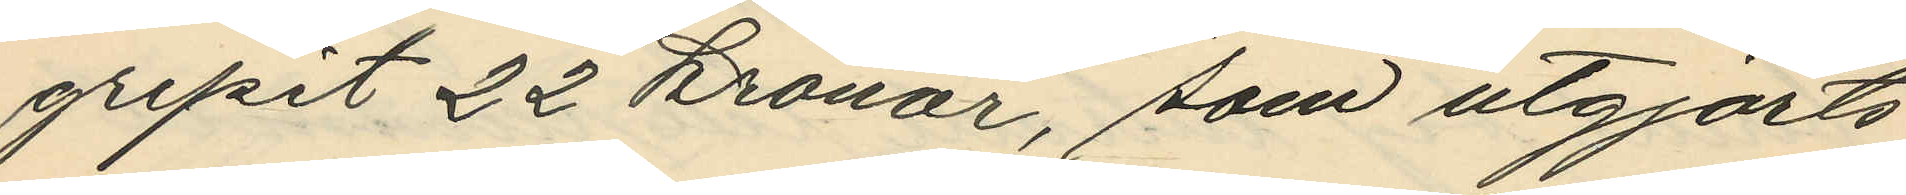gripit 22 kronor, som utgjorts
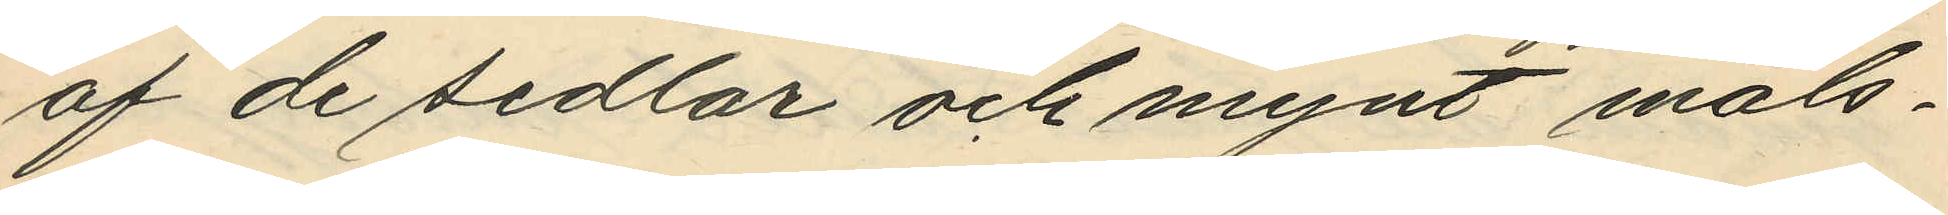af de sedlar och mynt måls¬
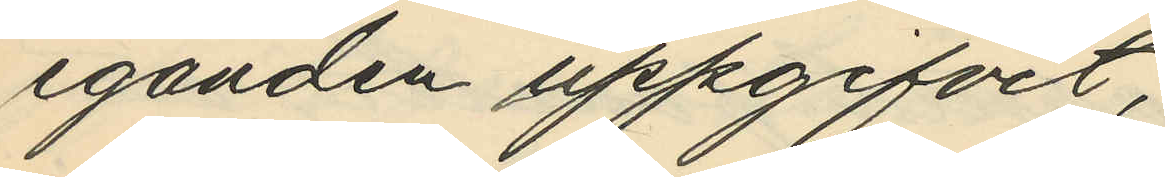eganden uppgifvit,
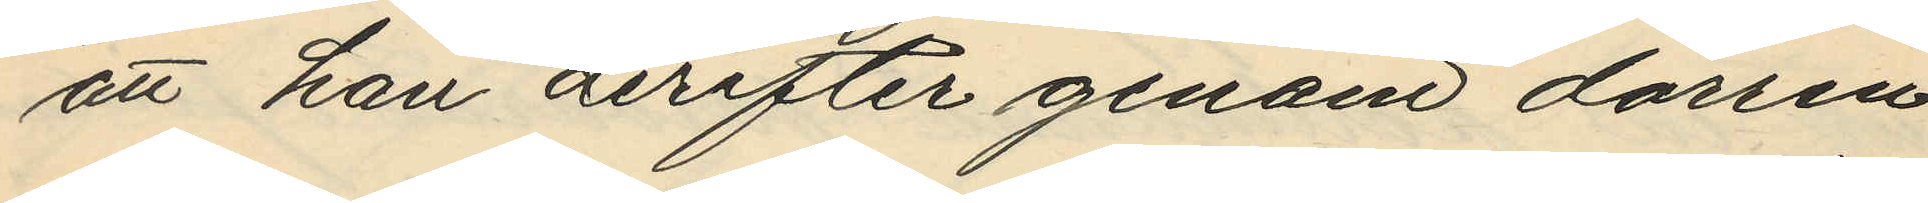att han derefter genom dörren
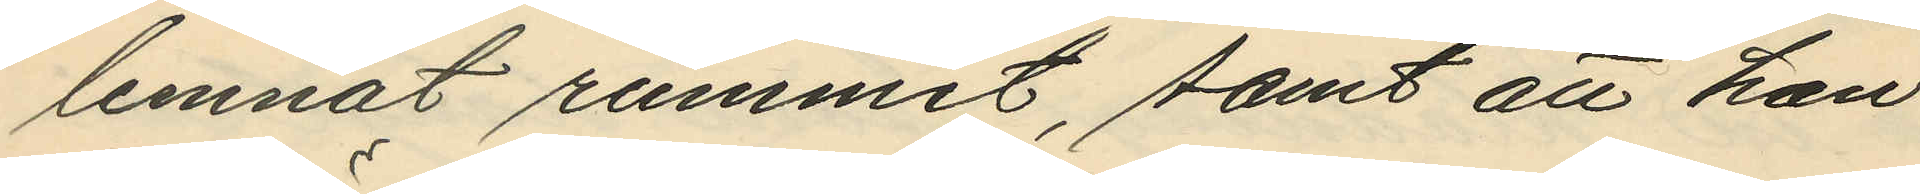lemnat rummet, samt att han
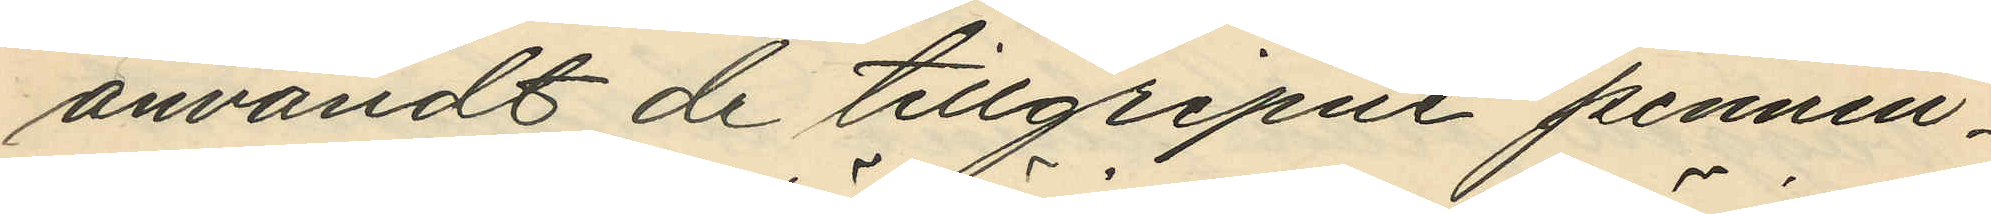användt de tillgripne pennin¬
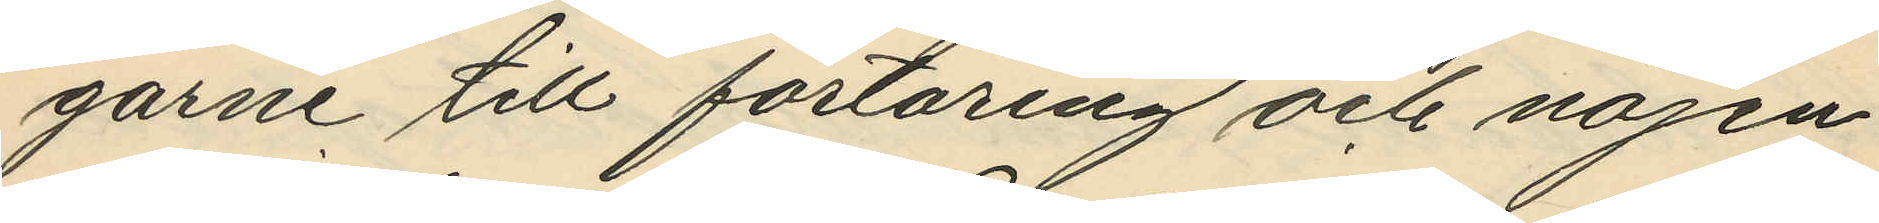garne till förtäring och nöjen
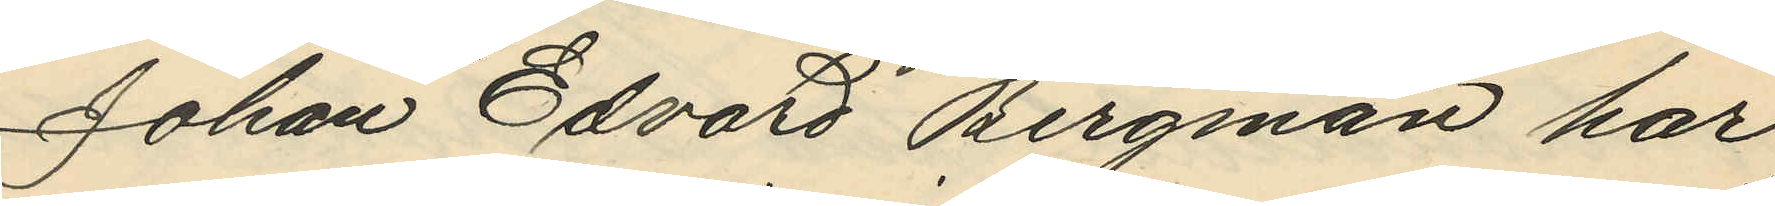Johan Edvard Bergman har
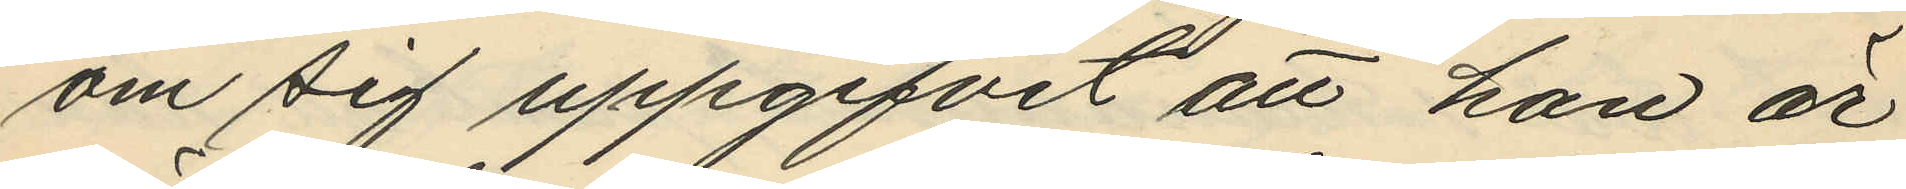om sig uppgifvit att han är
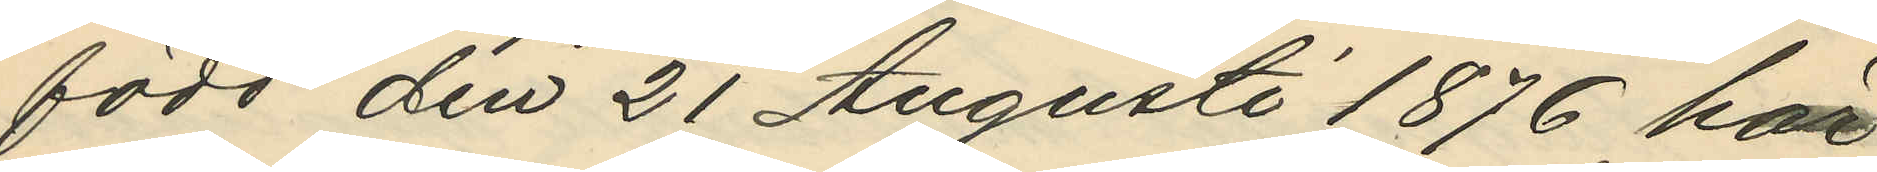född den 21 Augusti 1876 här
